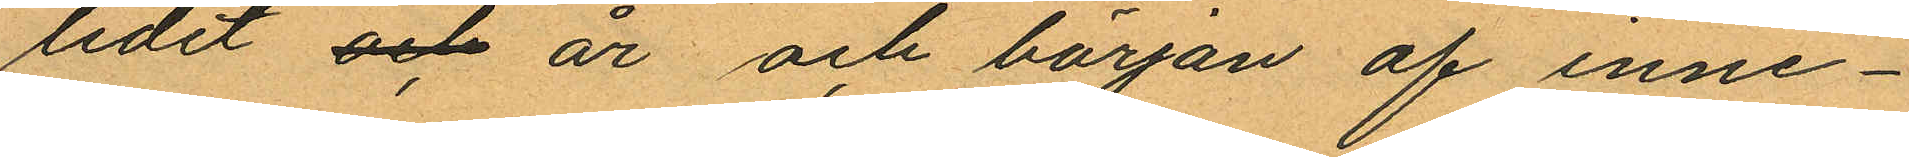lidet och år och början af inne¬
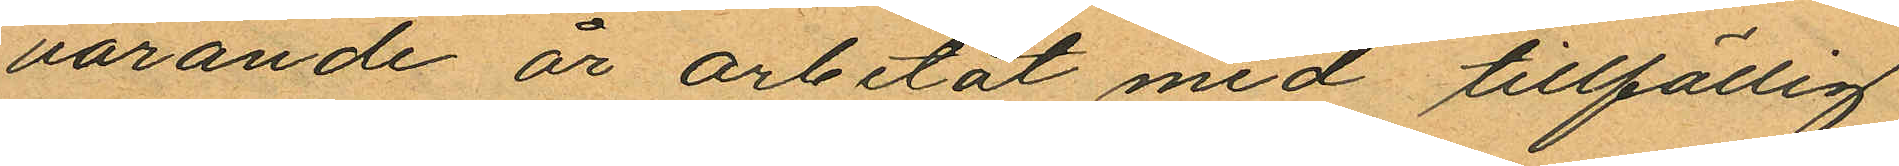varande år arbetat med tillfällig
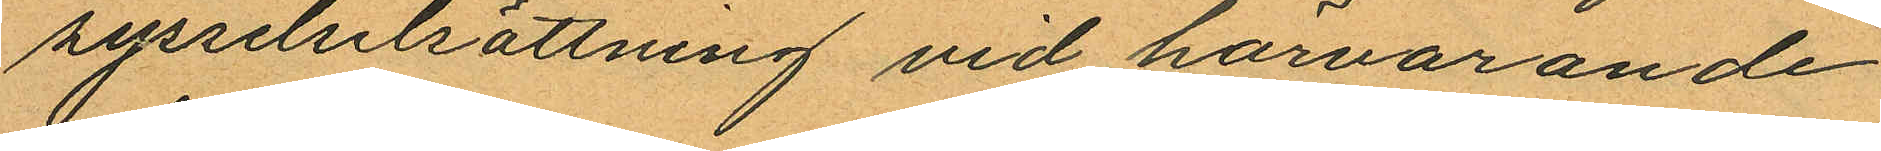sysselstsättning vid härvarande
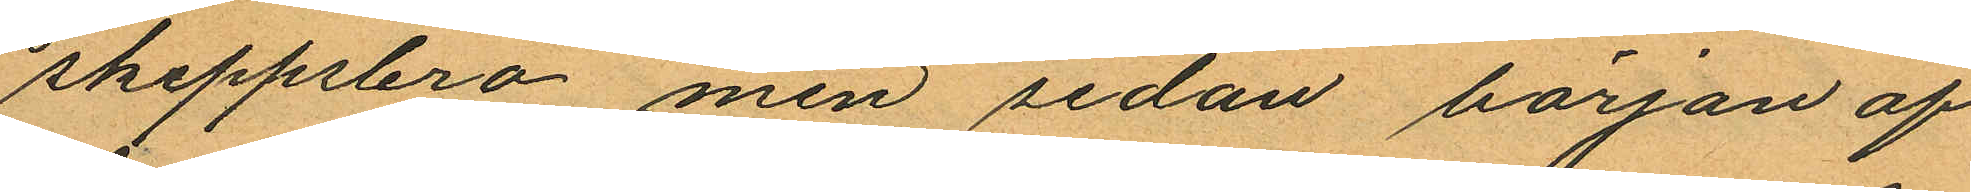skeppsbro men sedan början af
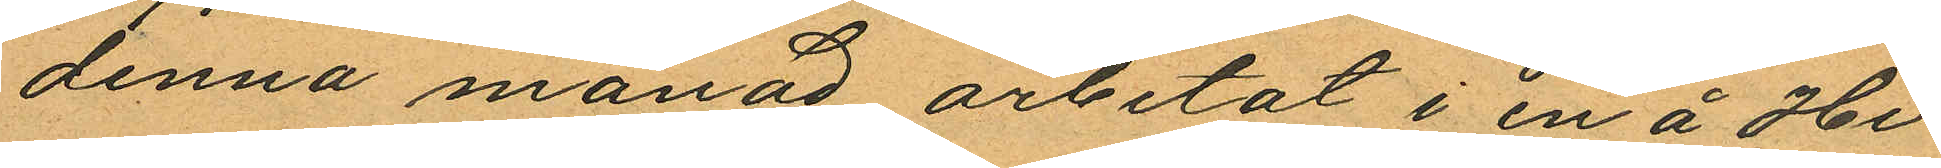denna månad arbetat i en å Hi¬
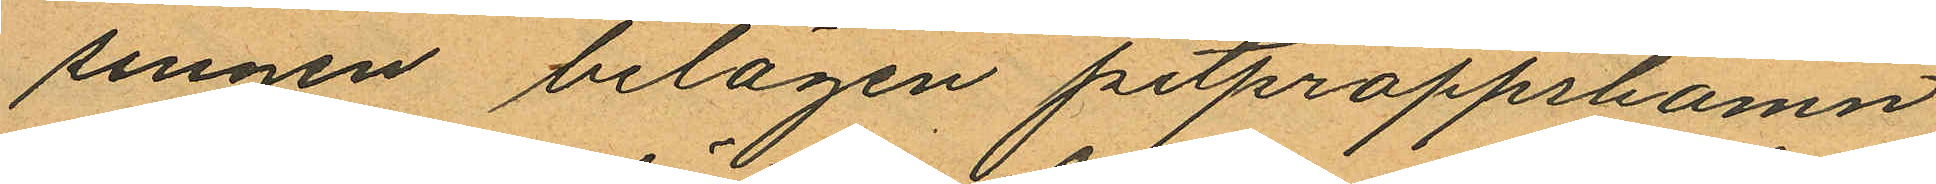singen belägen pitproppshamn
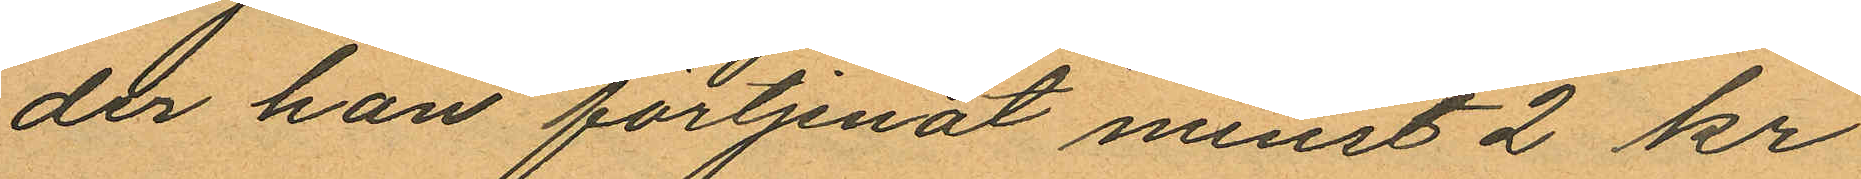der han förtjenat minst 2 kr
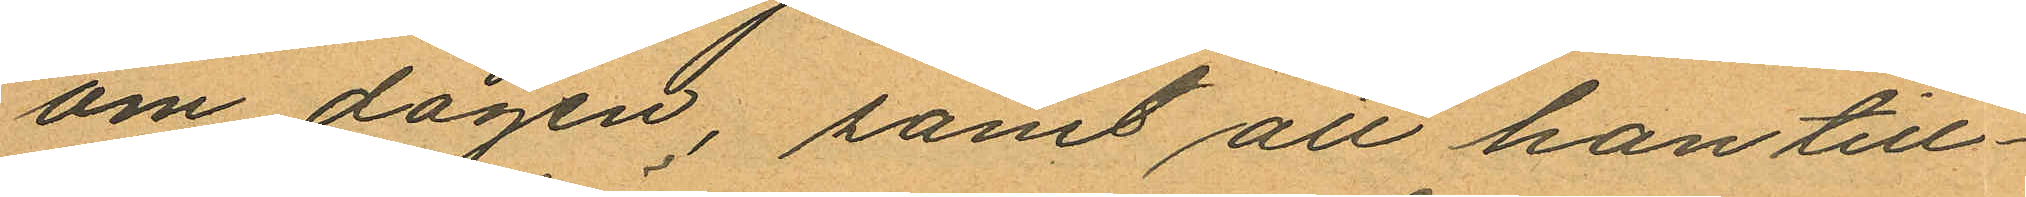om dagen, samt att han till¬
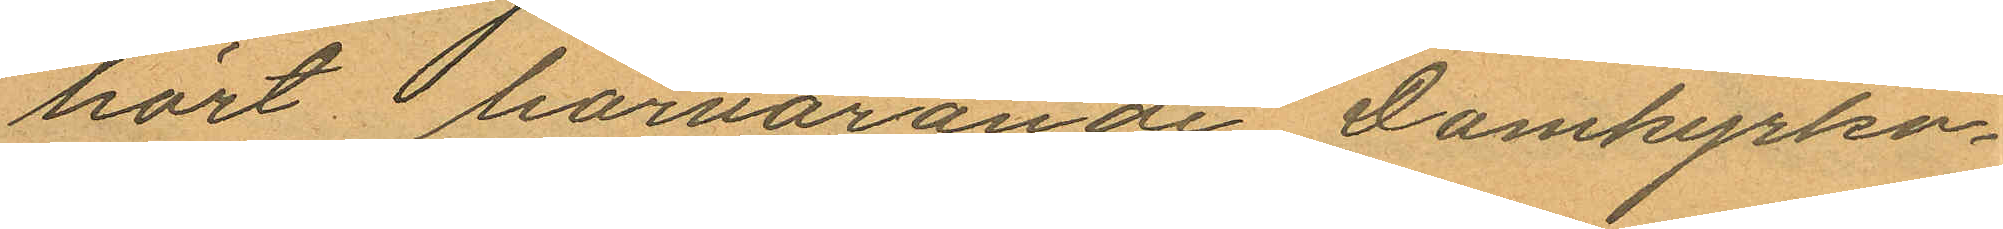hört härvarande Domkyrko¬
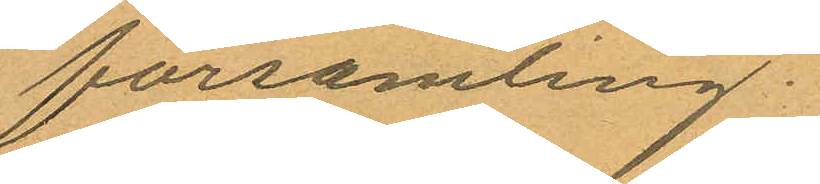församling.
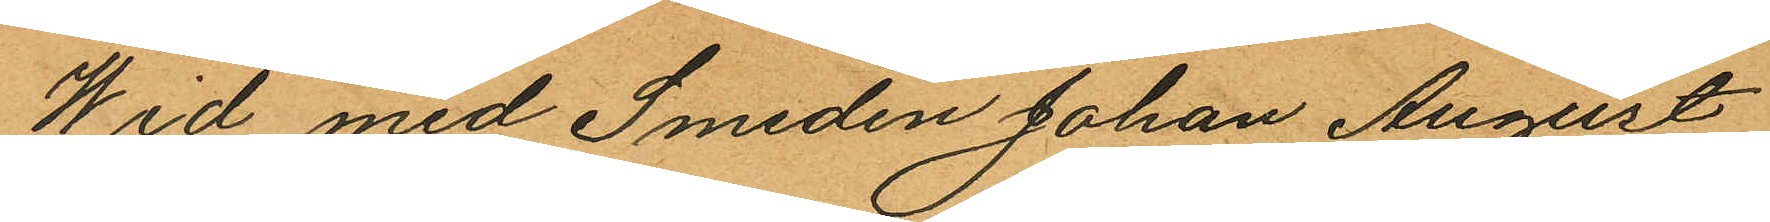Wid med Smeden Johan August
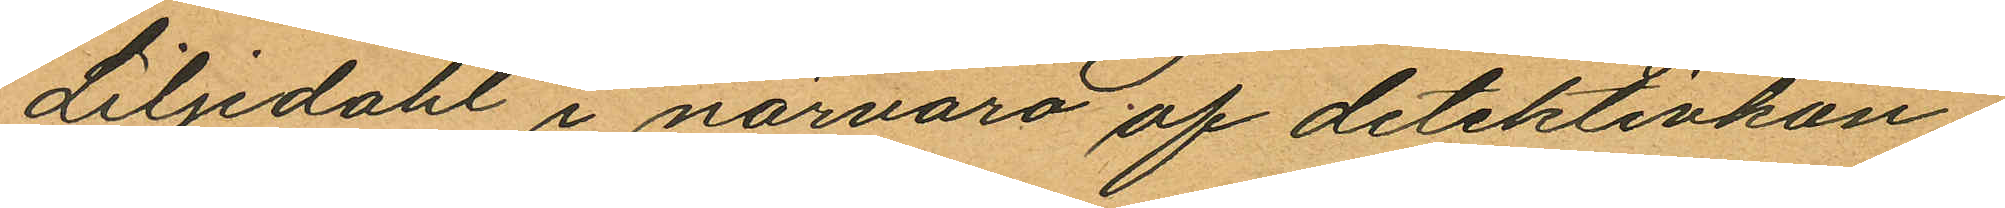Liljedahl i närvaro af detektivkon¬
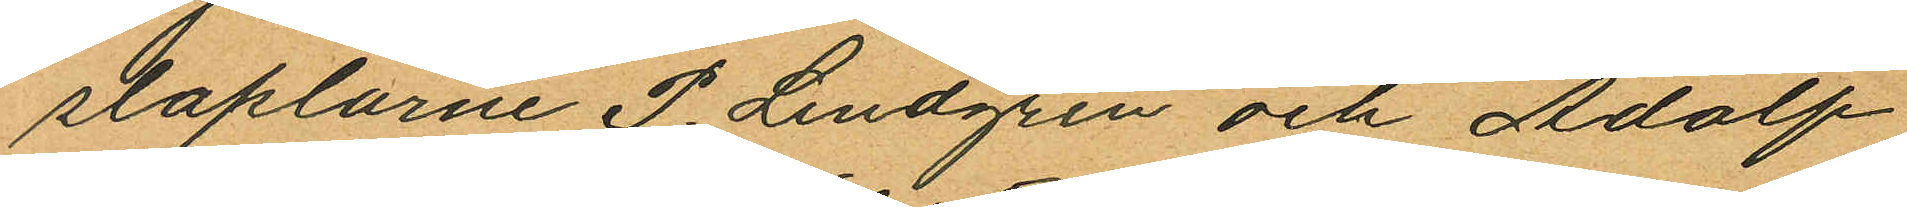staplarne P. Lindgren och Adolf
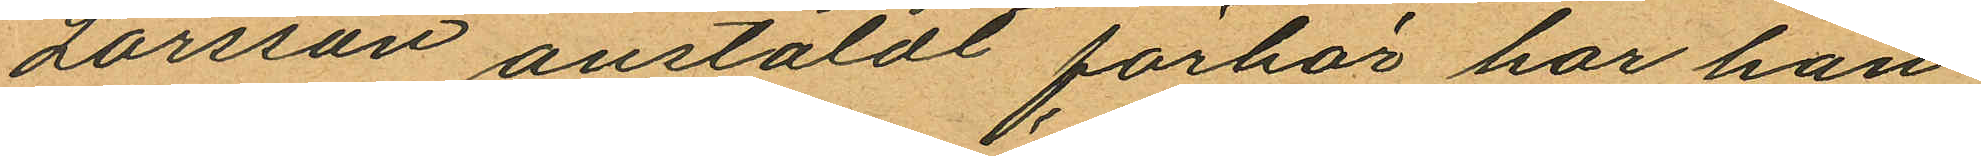Larsson anstäldt förhör har han
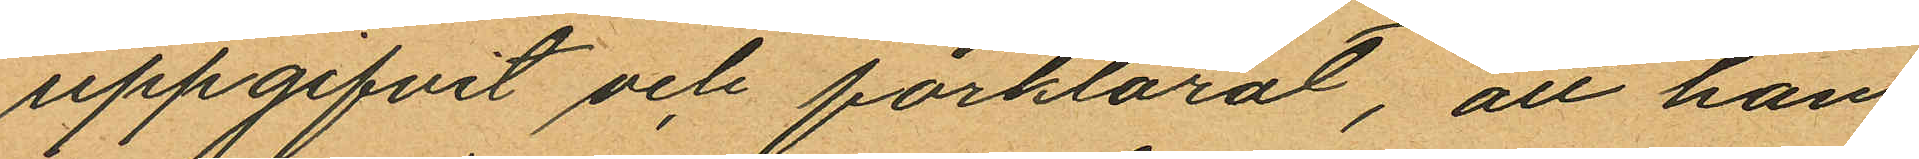uppgifvit och förklarat, att han
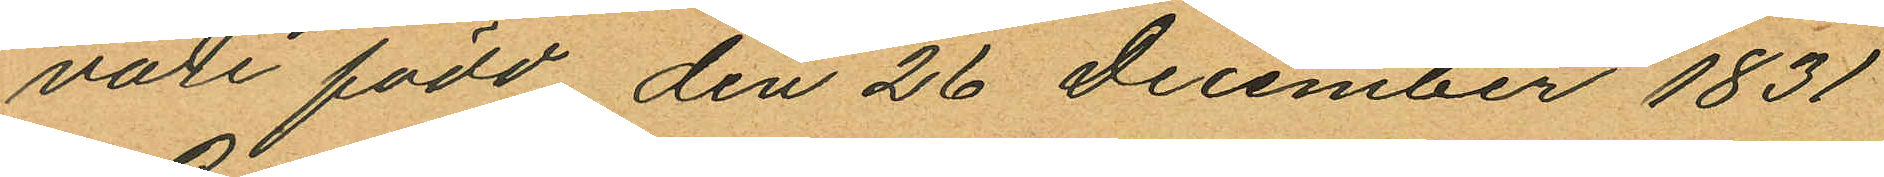vore född den 26 December 1831
